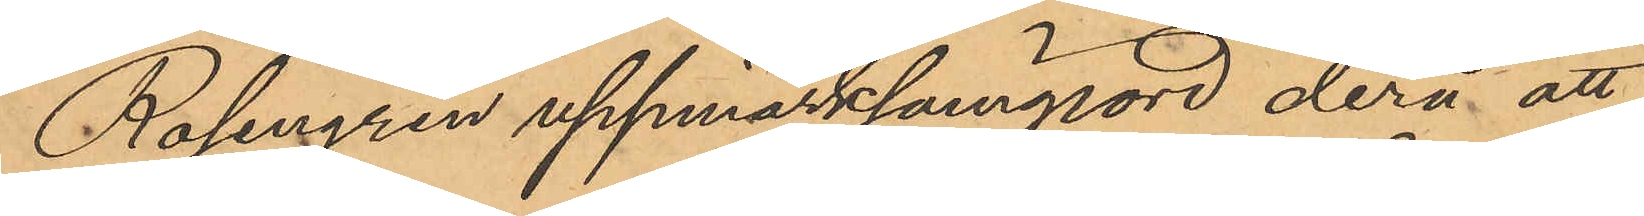Rosengren uppmärksamgjord derå att
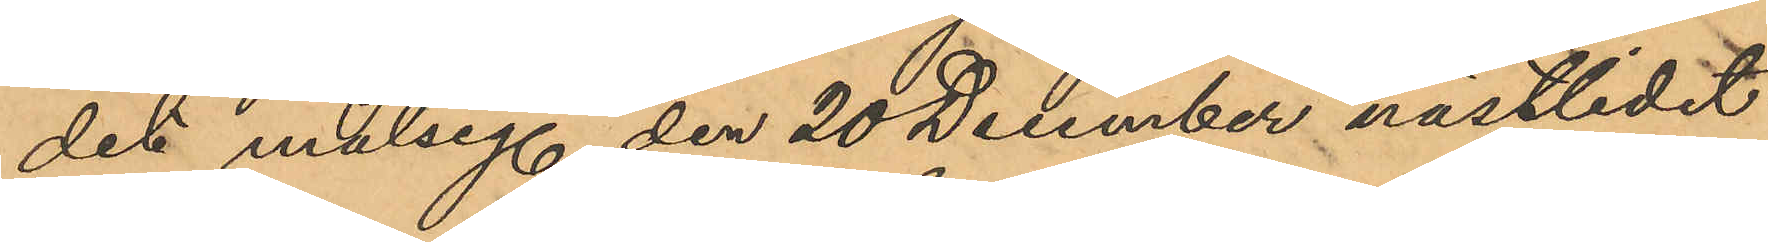det målseg den 20 December sistlidet
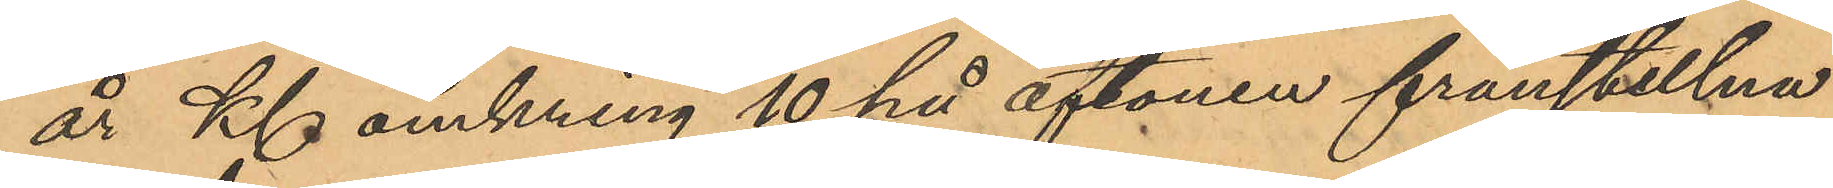år Kl omkring 10 på aftonen frånstulna
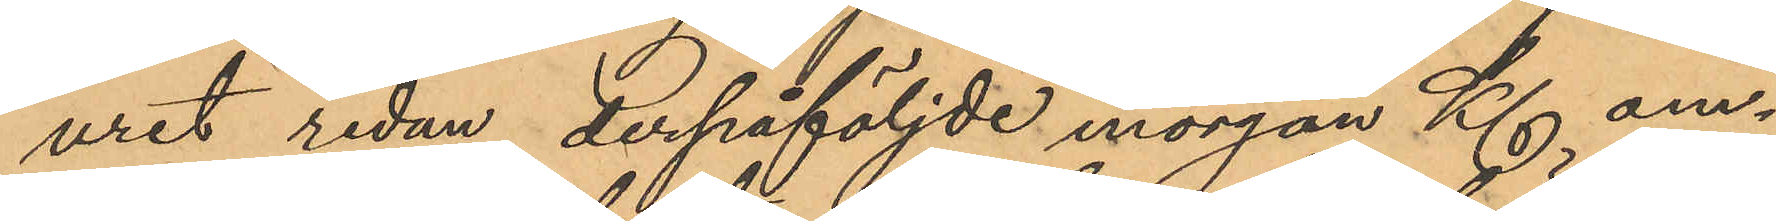uret redan derpåföljde morgon Kl om¬
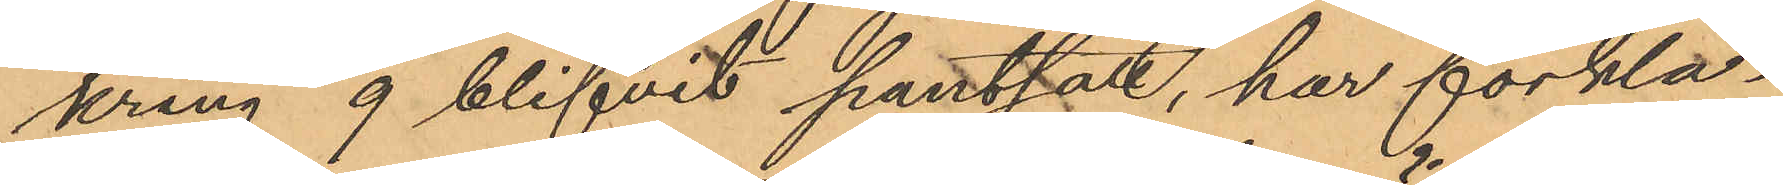kring 9 blifvit pantsatt, har förkla¬
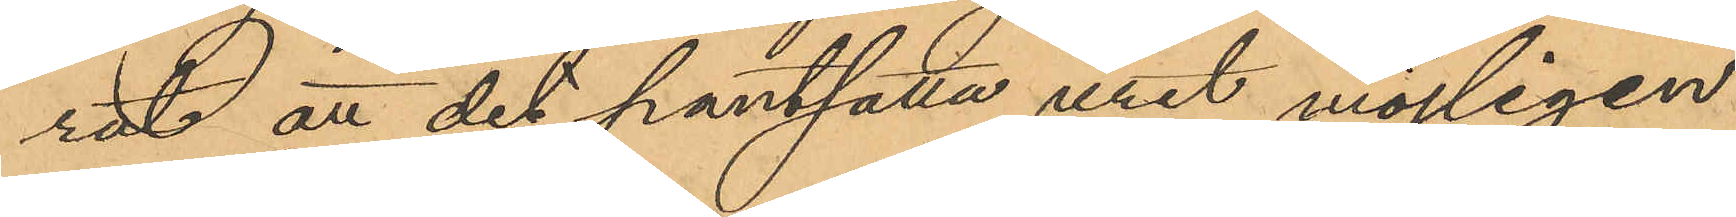rat att det pantsatta uret möjligen
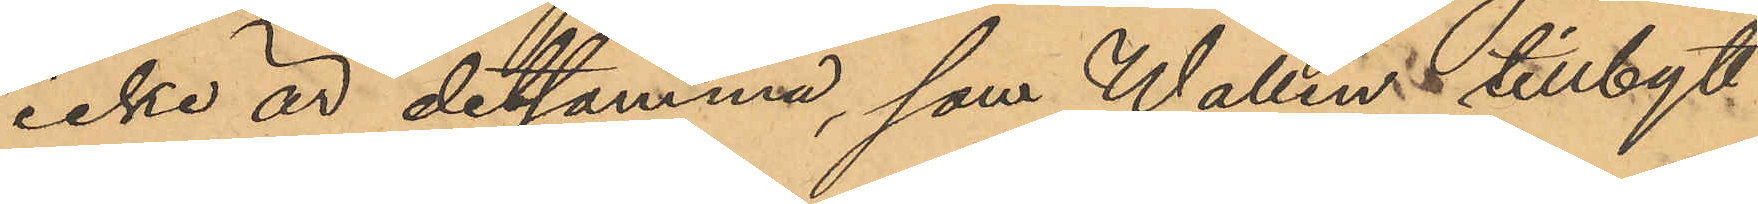icke är detsamma, som Wallin tillbytt
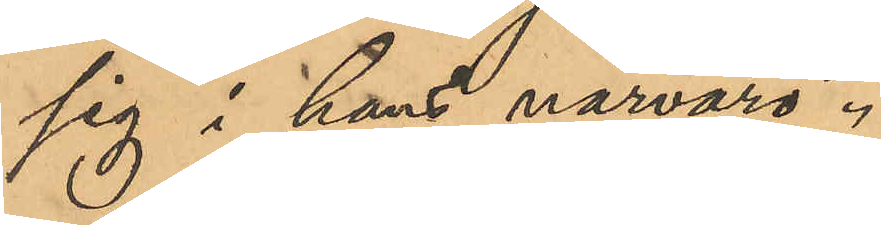sig i hans närvaro.
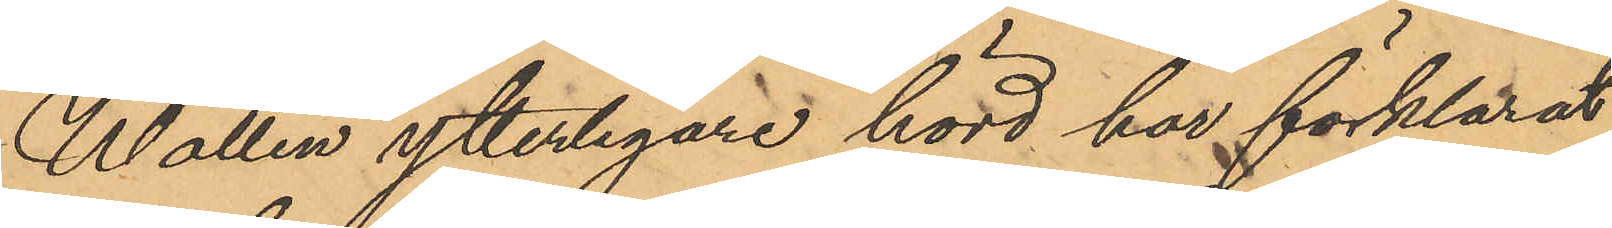Wallin ytterligare hörd har förklarat
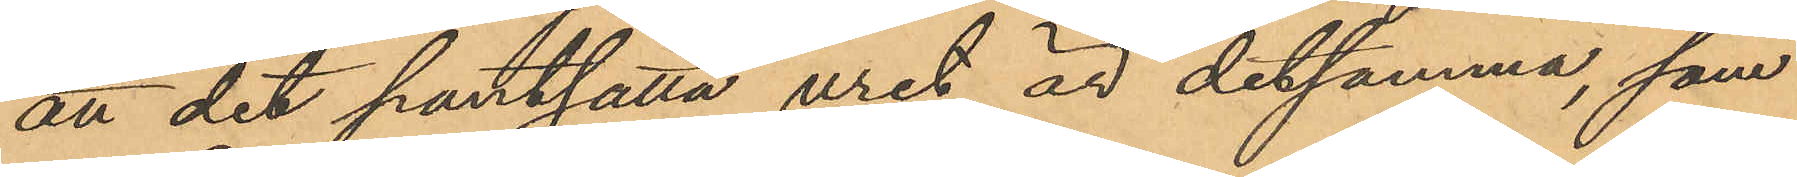att det pantsatta uret är detsamma, som
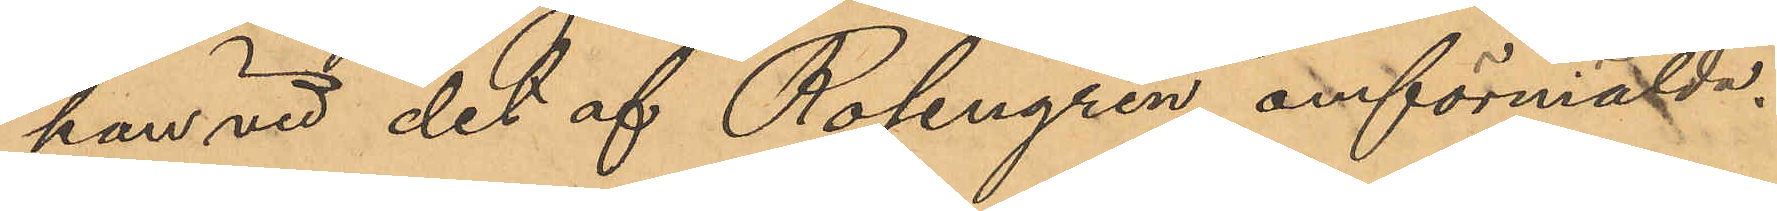han vid det af Rosengren omförmälda
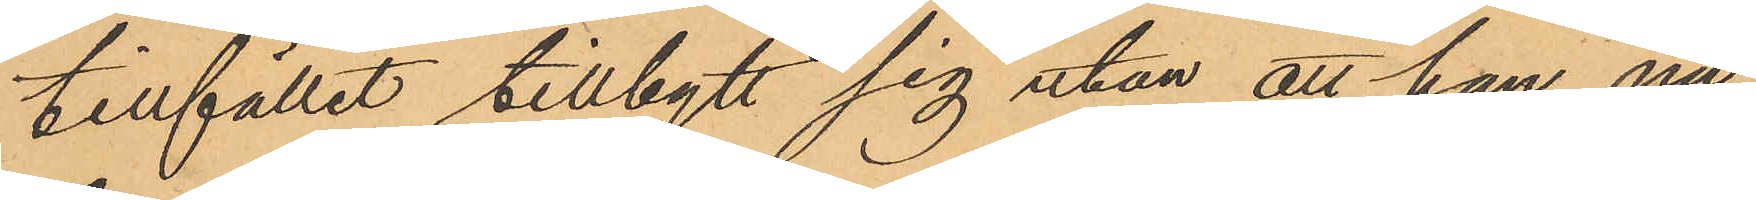tillfället tillbytt sig utan att han nu
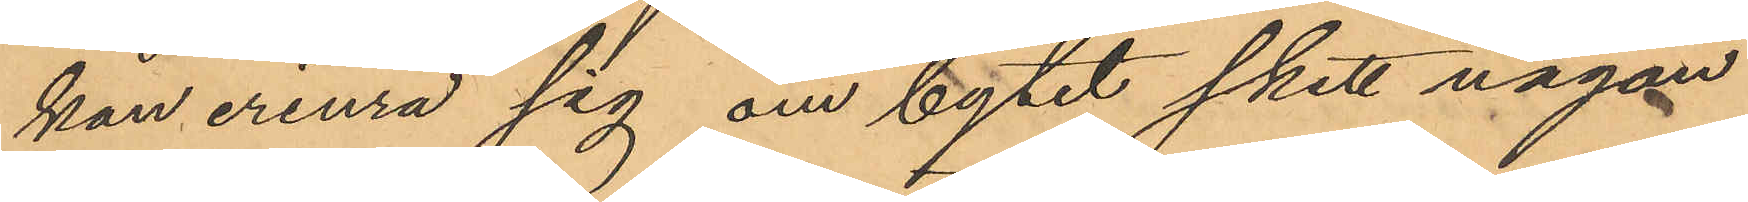kan erinra sig om bytet skett någon
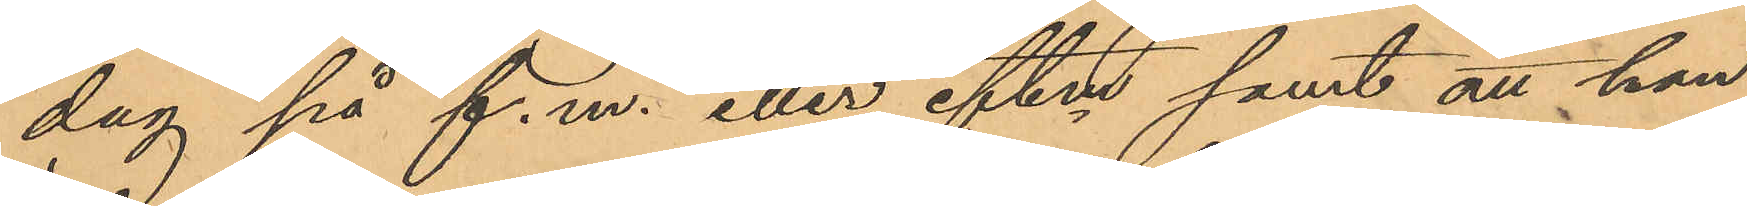dag på f.m. eller eftm samt att han
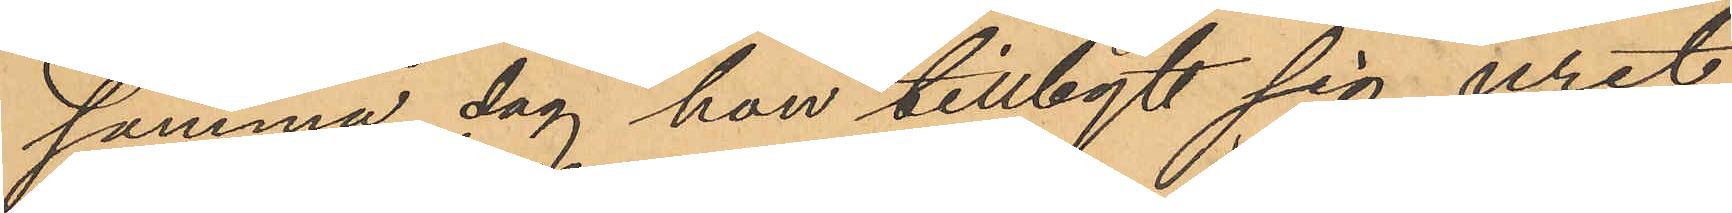samma dag han tillbytt sig uret
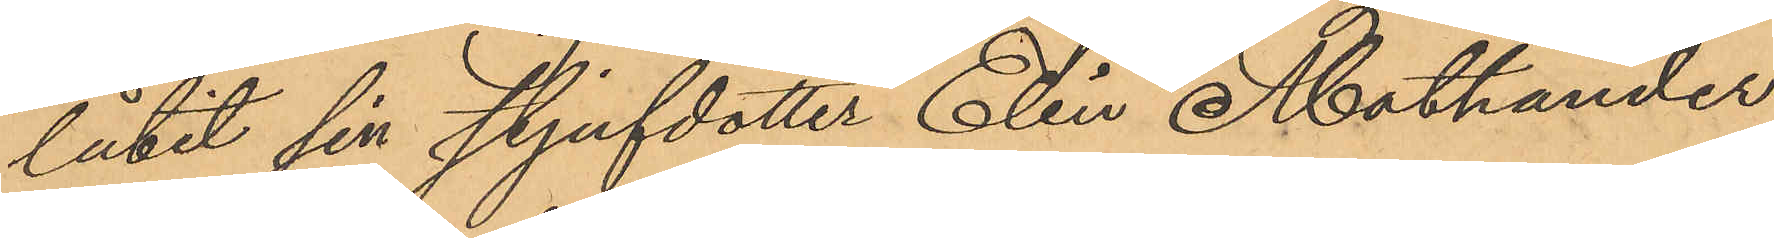låtit sin styfdotter Elin Mathander
